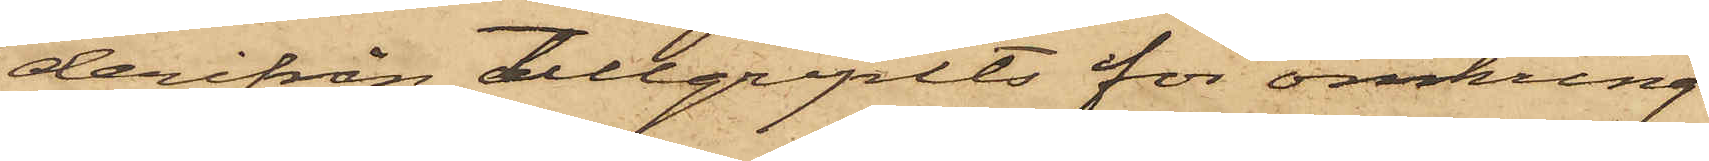derifrån tillgripits för omkring
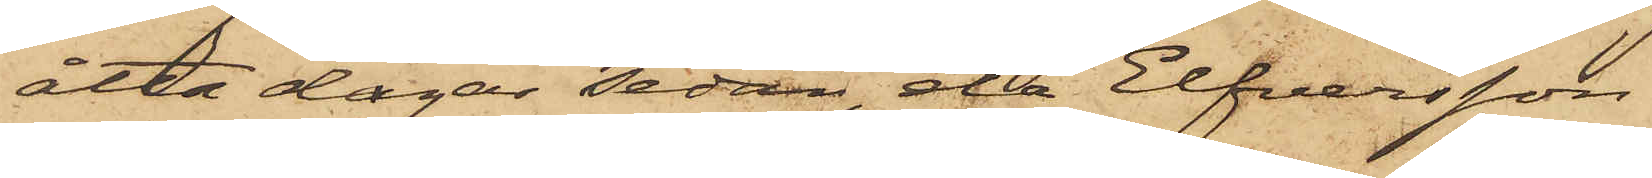åtta dagar sedan, då Elfversson
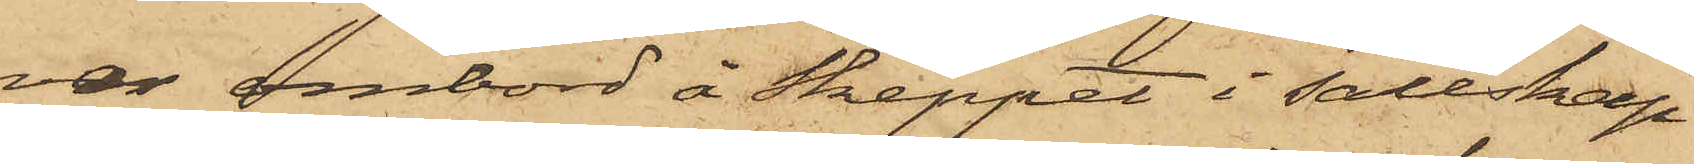var ombord å Skeppet i sällskap
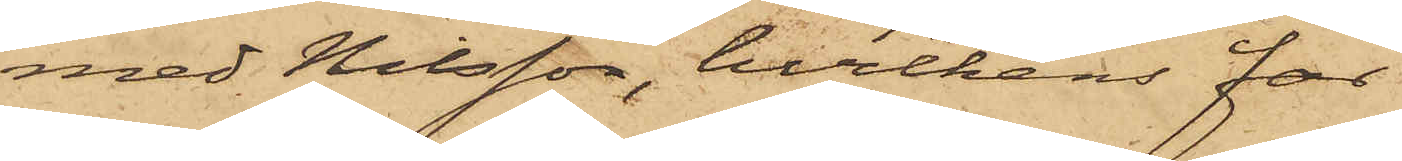med Nilsson, hvilkens far
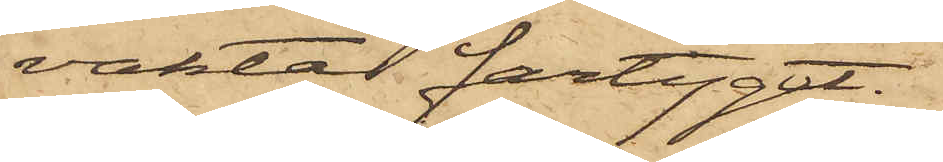vaktat fartyget.
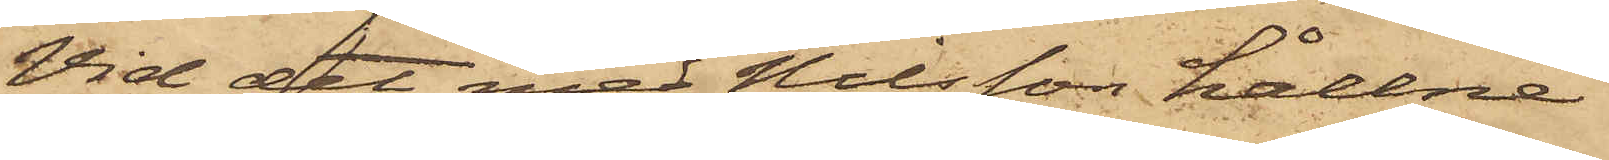Vid det med Nilsson hållne
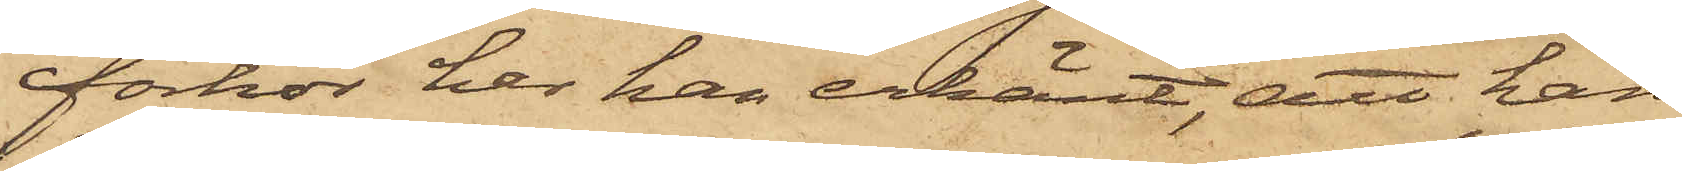förhör har han erkänt, att han
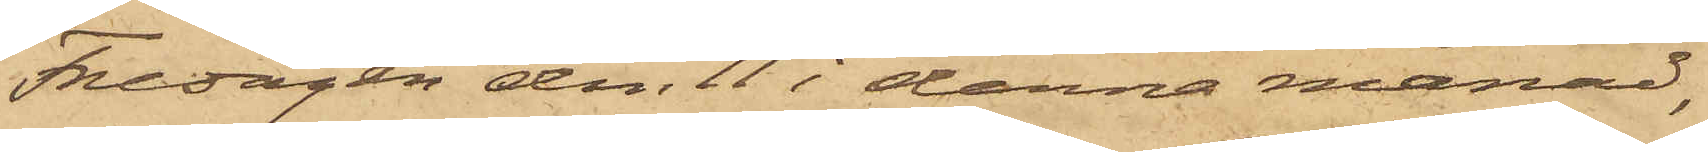Fredagen den 11 i denna månad,
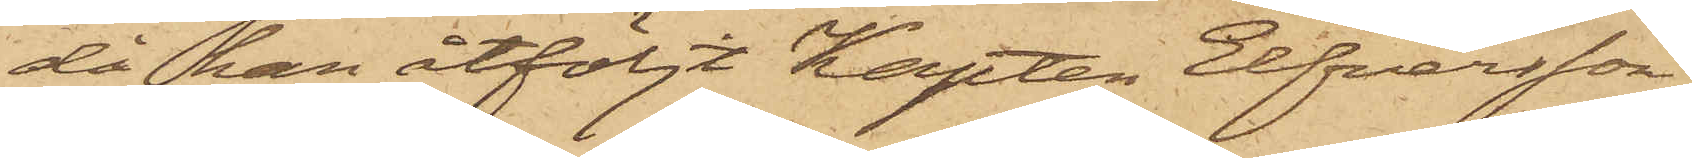då han åtföljt Kapten Elfversson
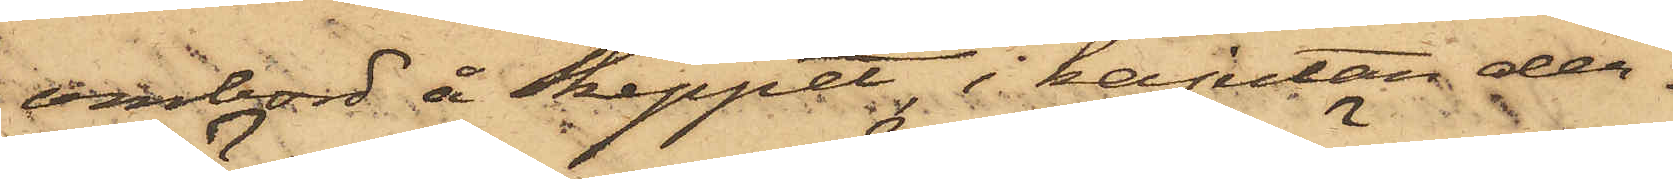ombord å Skeppet, i kajutan der¬
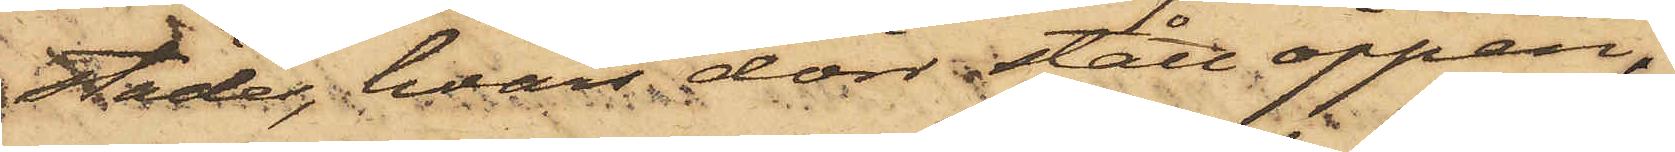städes, hvars dörr stått öppen,
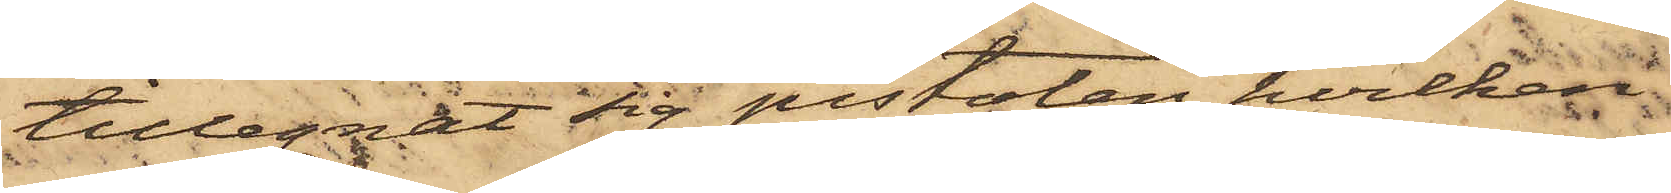tillegnat sig pistolen, hvilken
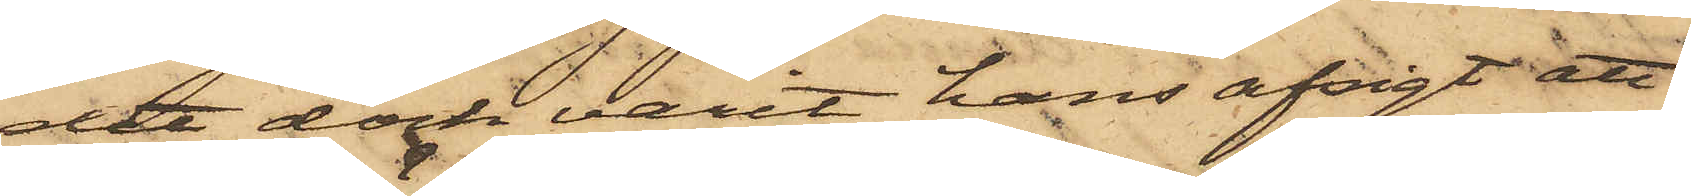det dock varit hans afsigt att
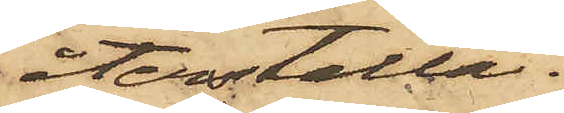återställa.
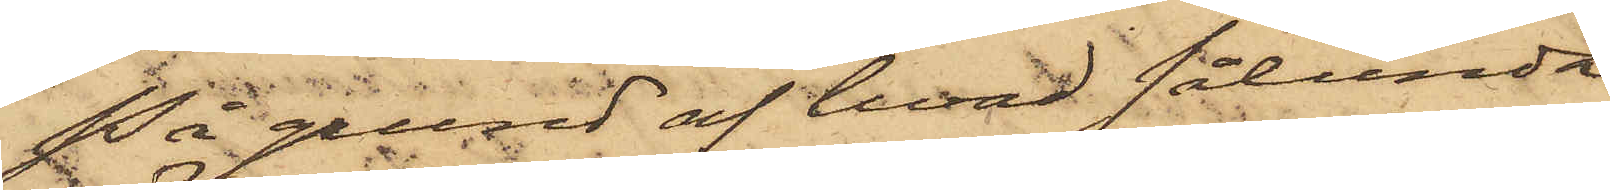På grund af hvad sålunda
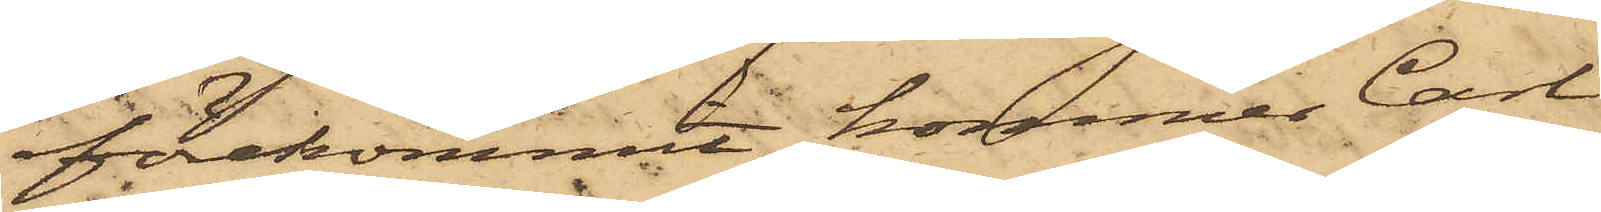förekommit, kommer Carl
